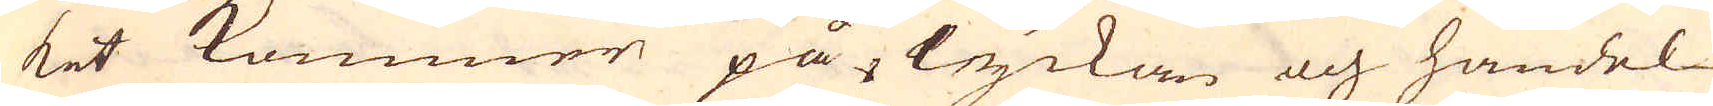ket kommer på lyckan och handel-
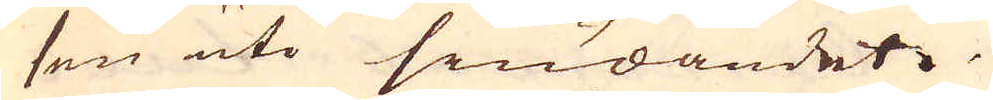sen uti siudandet.
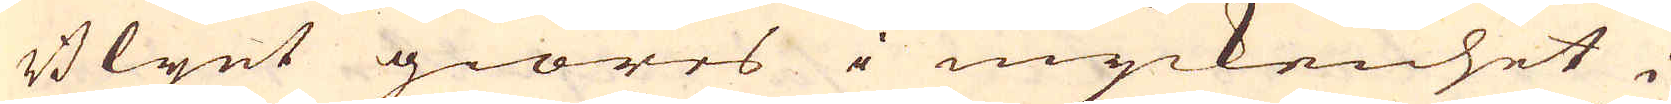Blyet giöres i myckenhet i
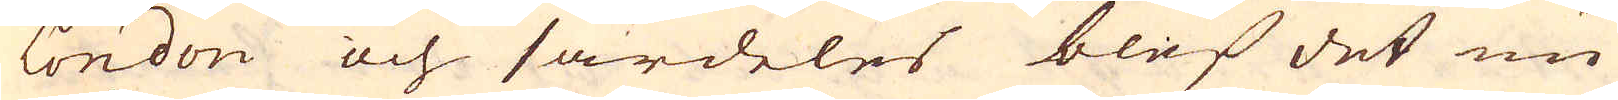London och särdeles blef det nu
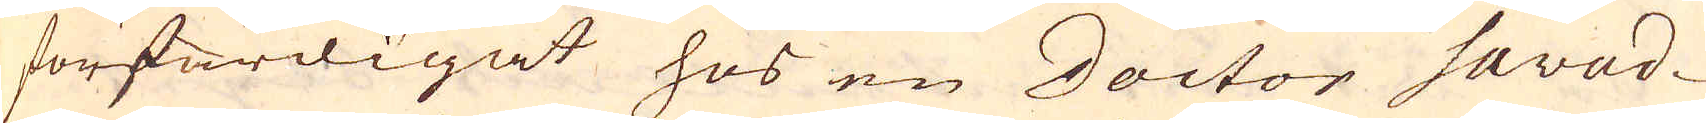förfärdigat hos en Doctor Savad-
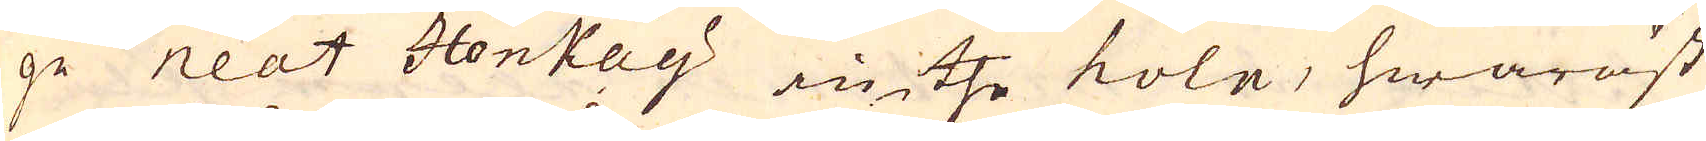ge neat Honkay in the kole, hwaräst
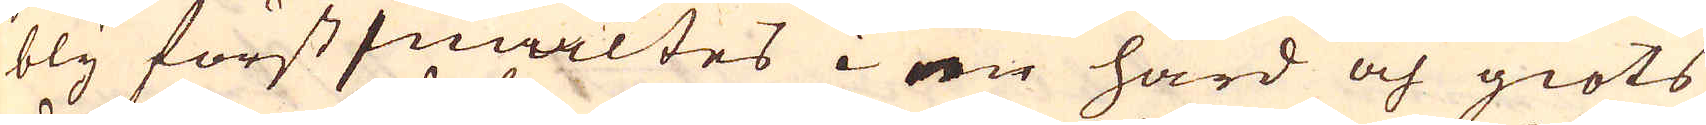bly först smältes i en härd och giöts
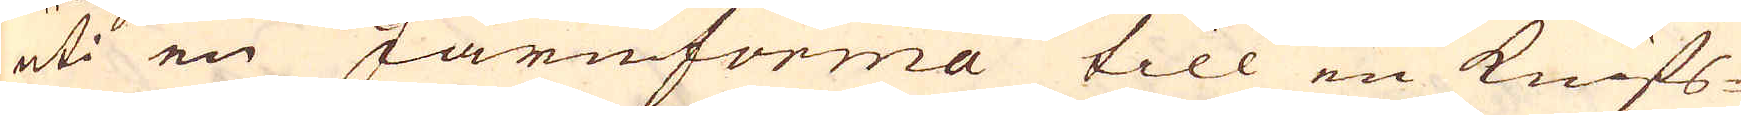uti en Järnforma till en knifs-
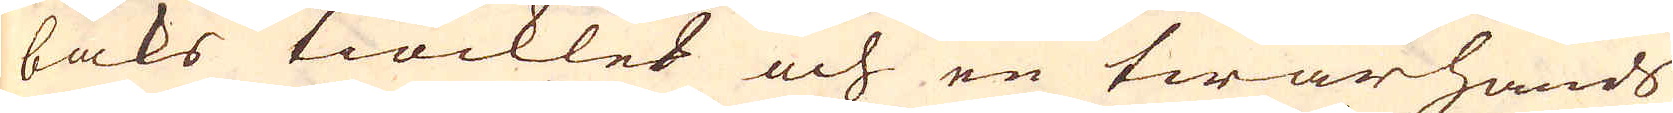baks tiockled och en twärhands
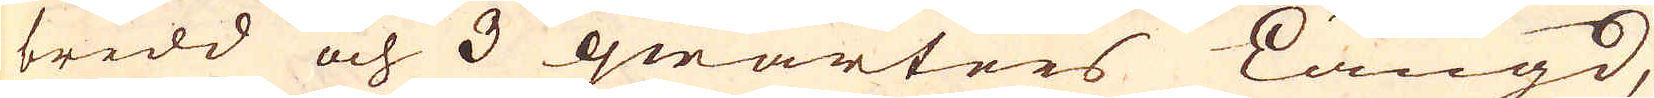bredd och 3 qwarters längd,
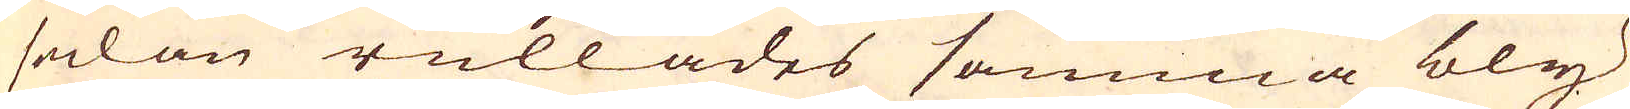sedan rullades samma bly
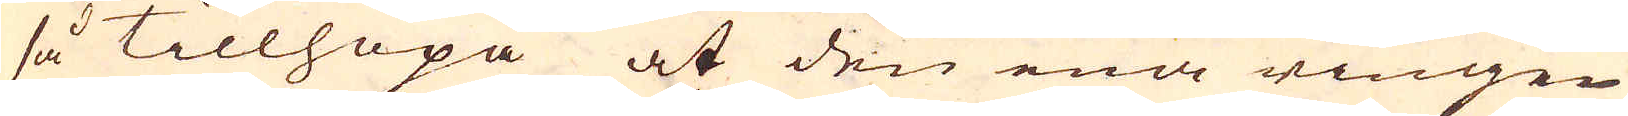så tillhopa at den ena ringen
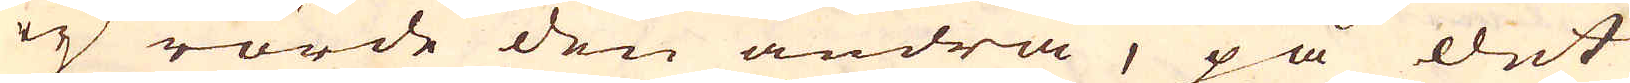ey rörde den andra, på det
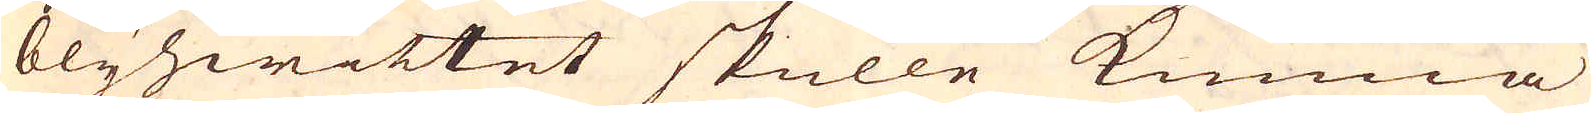blyhwittet skulle kunna
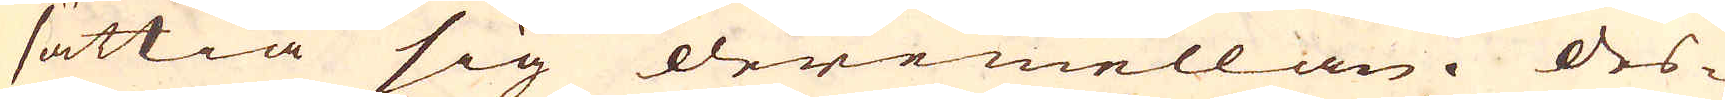sättia sig deremellan. Des-
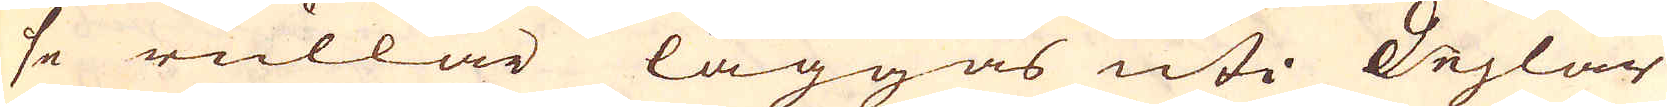se rullar läggas uti deglar
